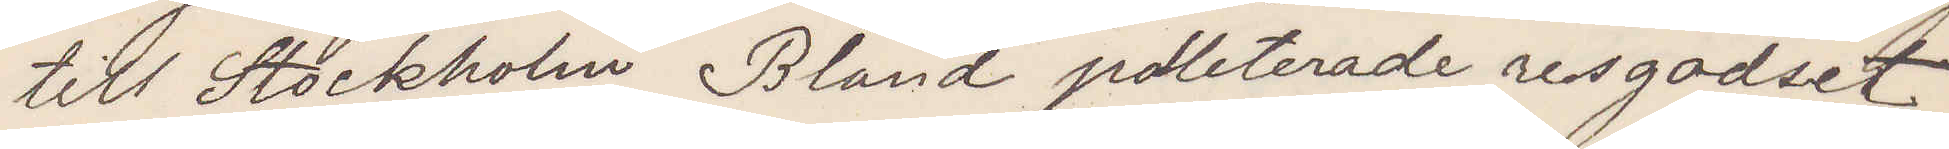till Stockholm Bland polleterade resgodset
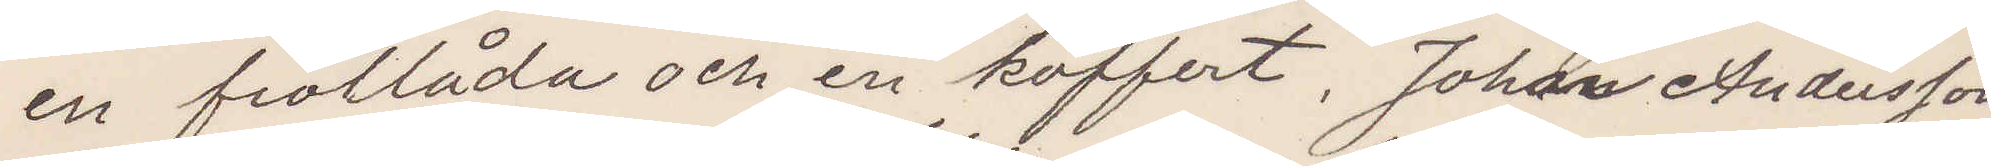en fiollåda och en koffert, Johan Andersson
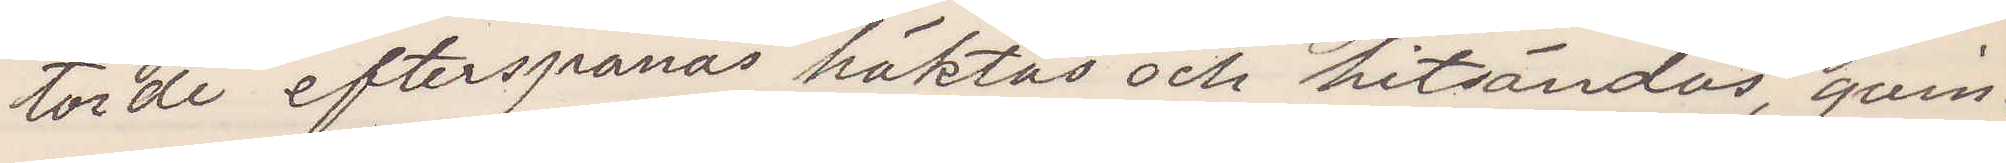torde efterspanas häktas och hitsändas, qvin¬
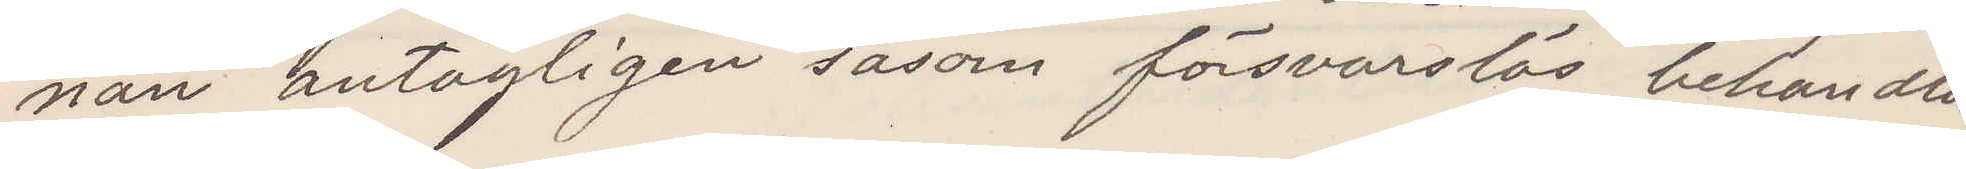nan antagligen såsom försvarslös behandlas.
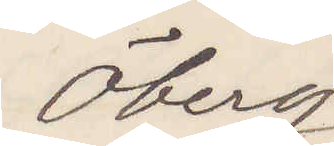Öberg
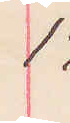14
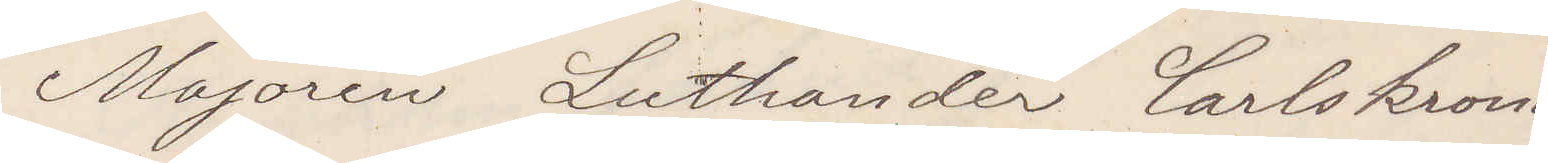Majoren Luthander Carlskrona
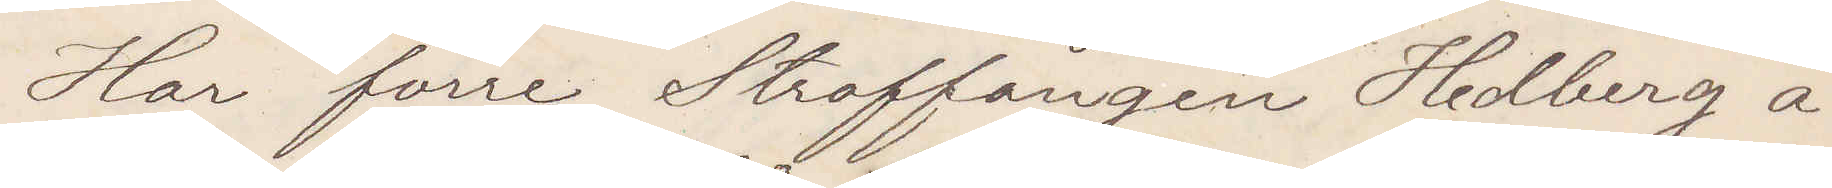Har förre Straffången Hedberg å
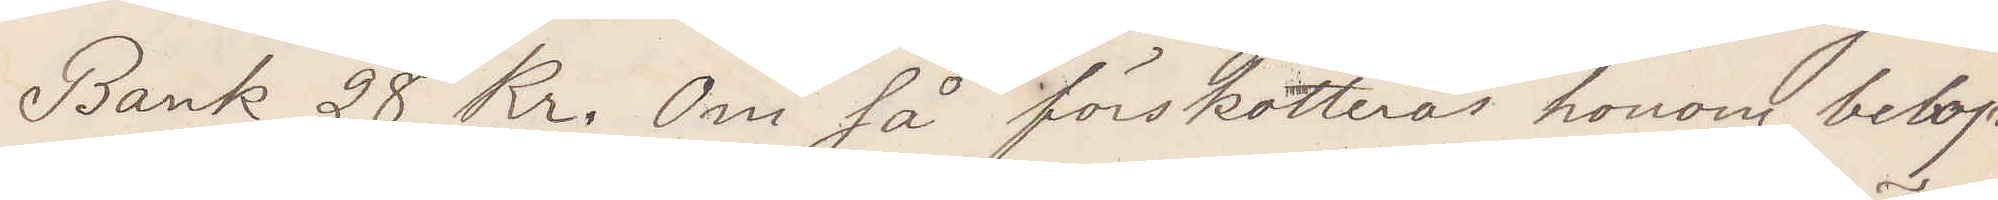Bank 28 Kr. Om så förskotteras honom belop¬
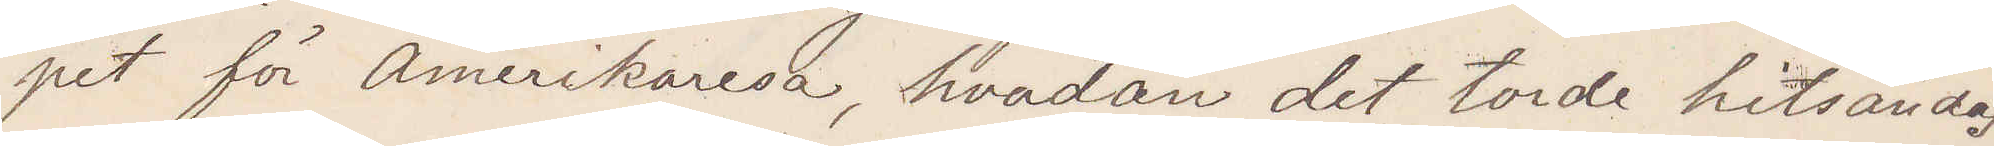pet för Amerikaresa, hvadan det torde hitsändas
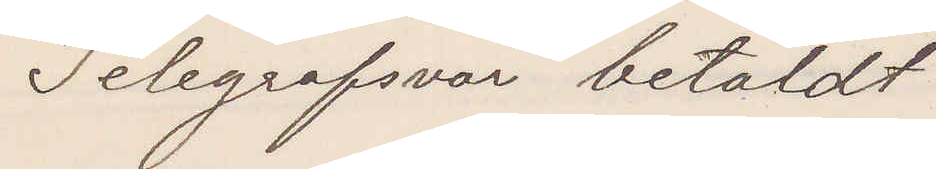Telegrafsvar betaldt
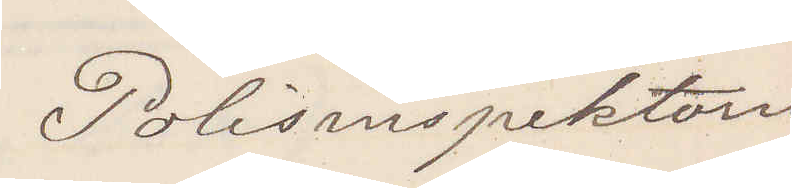Polisinspektorn
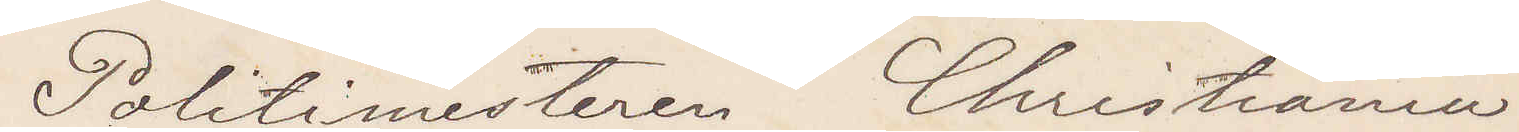Politimesteren Christiania
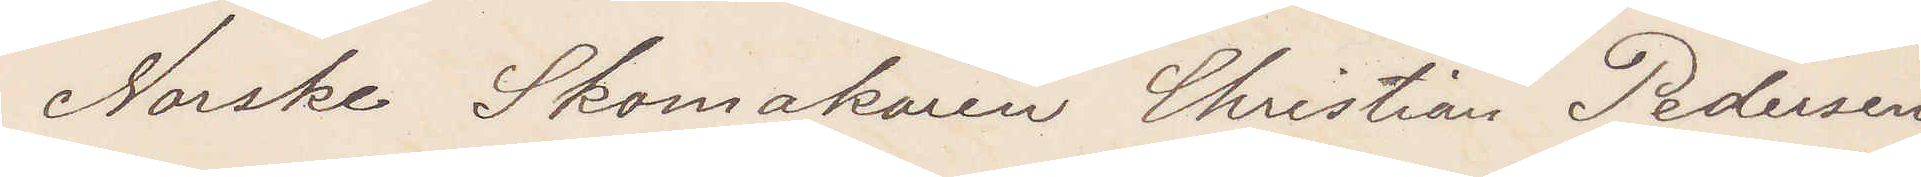Norske Skomakaren Christian Pedersen
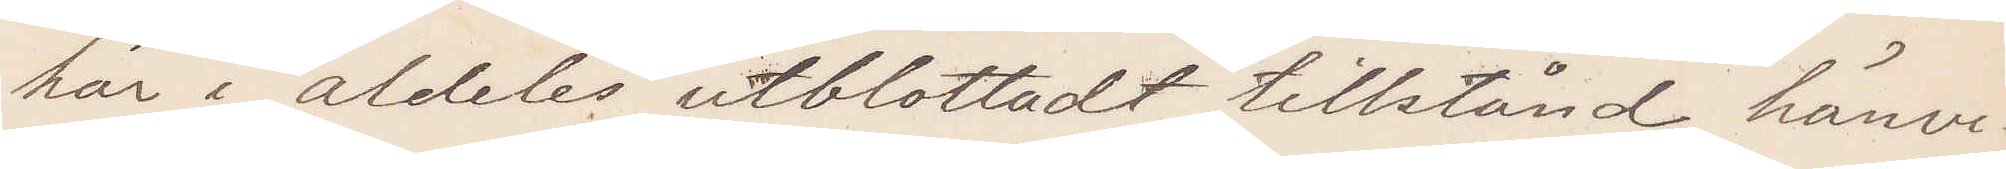här i aldeles utblottadt tillstånd hänvi¬
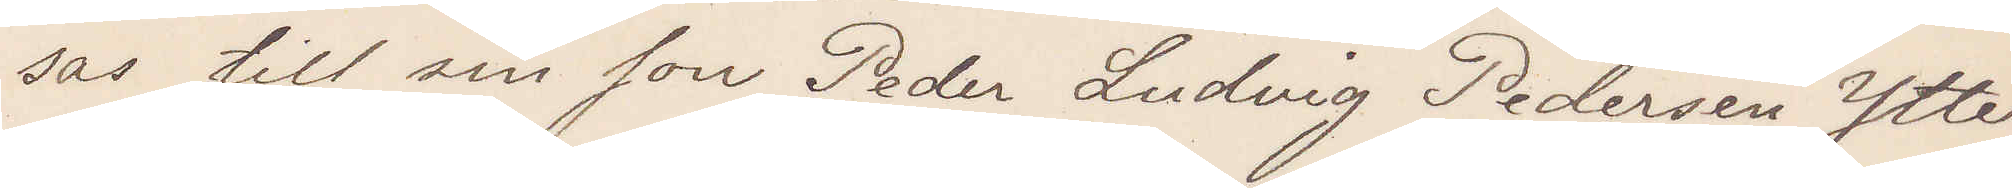sar till son Peder Ludvig Pedersen Ytter¬
